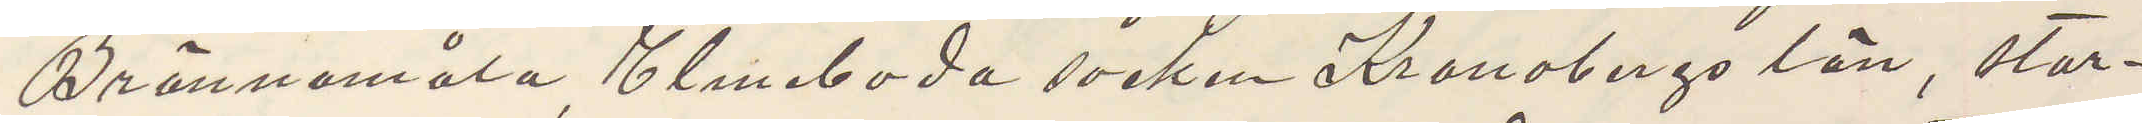Brännemåla Elmeboda socken Kronobergs län, stor¬
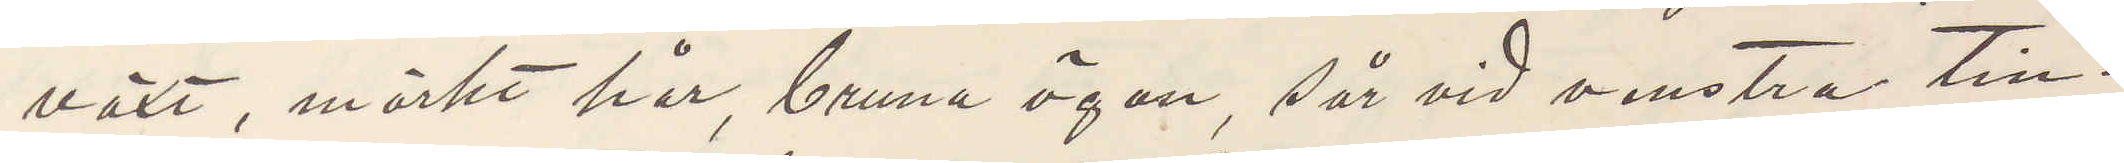växt, mörkt hår, bruna ögon, sår vid venstra tin¬
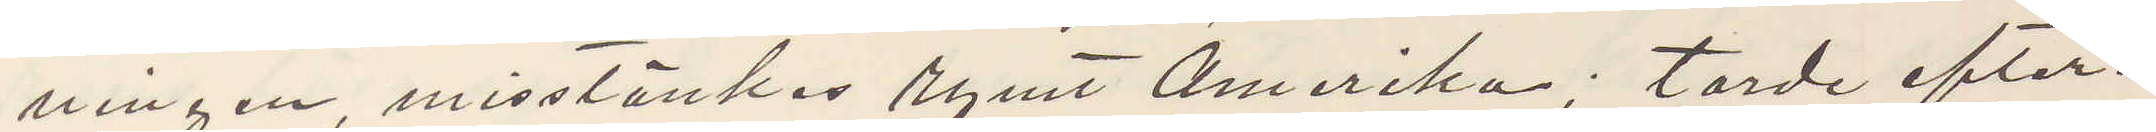ningen, misstänkas rymt Amerika; torde efter¬
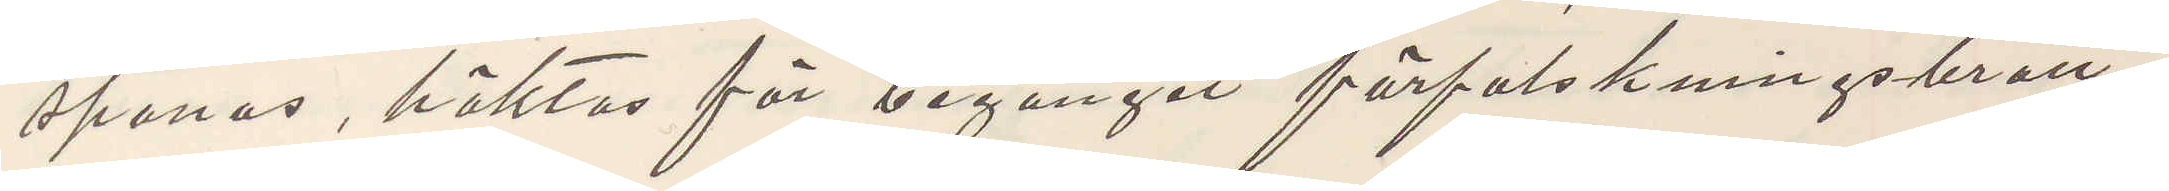spanas, häktas för begånget förfalskningsbrott.
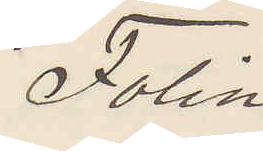Folin
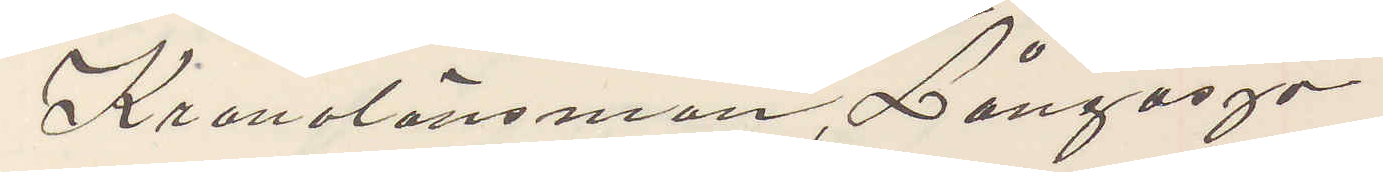Kronolänsman, Långasjö.
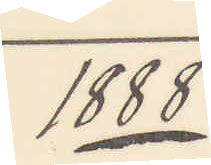1888
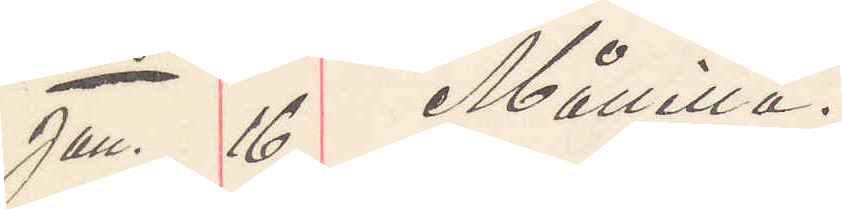Jan. 16 Målilla.
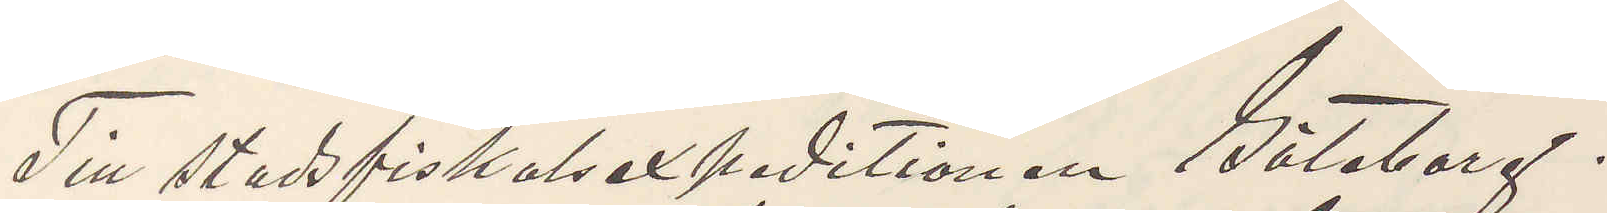Till stadsfiskalsexpeditionen Göteborg.
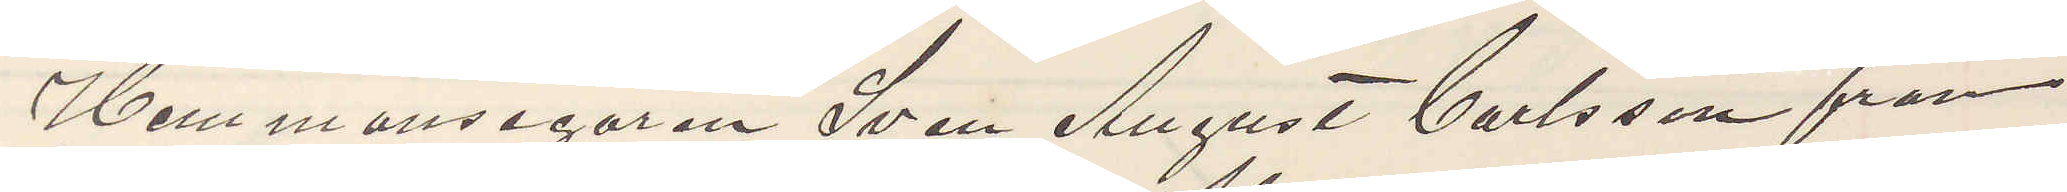Hemmansegaren Sven August Carlsson från
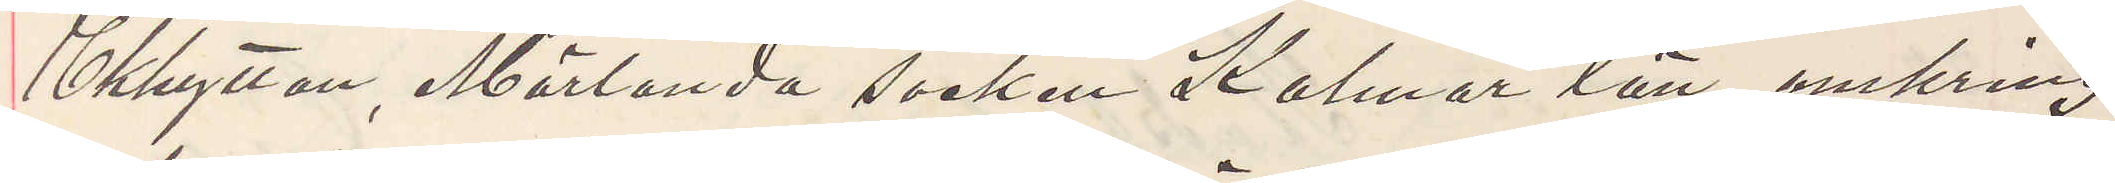Ekhyttan, Märlanda socken Kalmar län, omkring
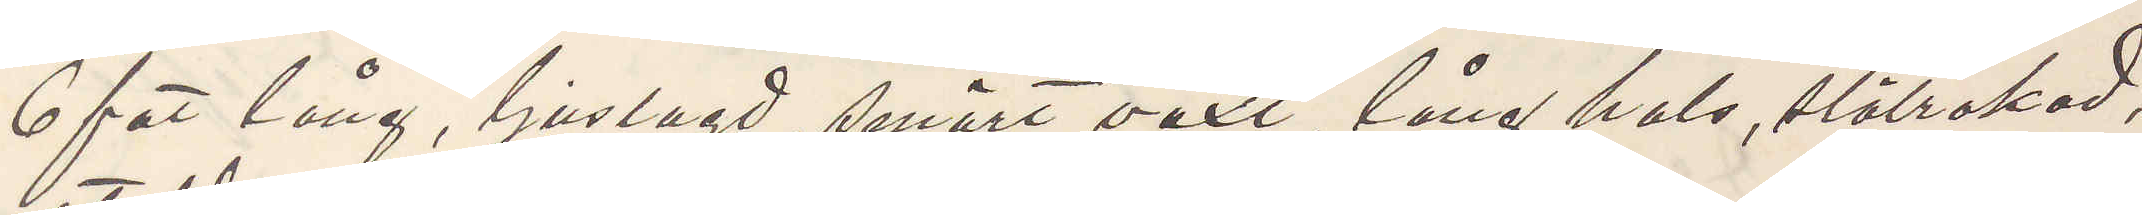6 fot lång, ljuslagd, smärt växt, lång hals, slätrakad,
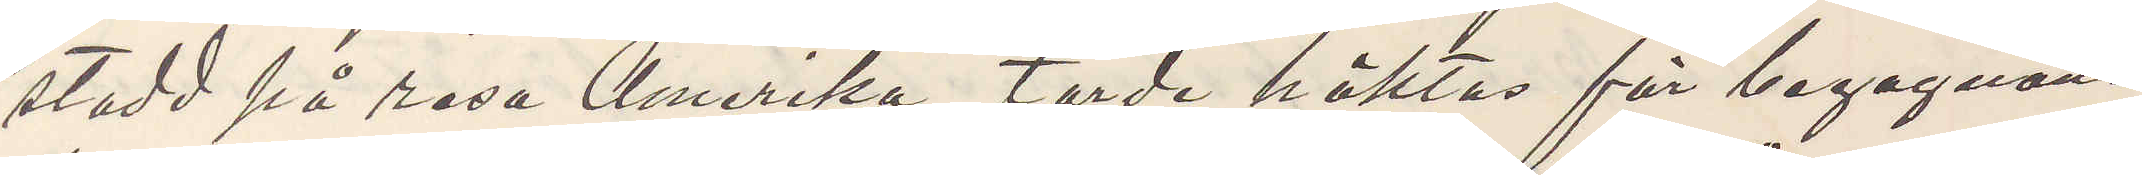stadd på resa Amerika, torde häktas för begagnan¬
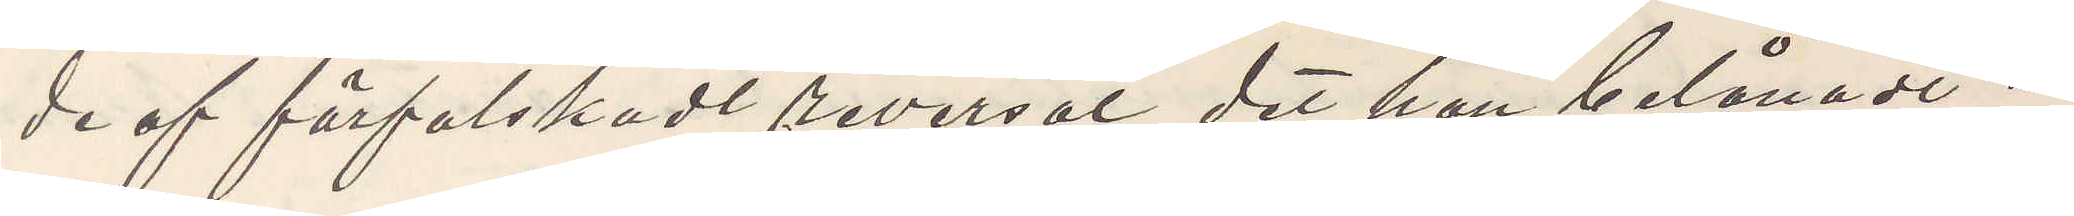de af förfalskadt reversal det han belånadt i
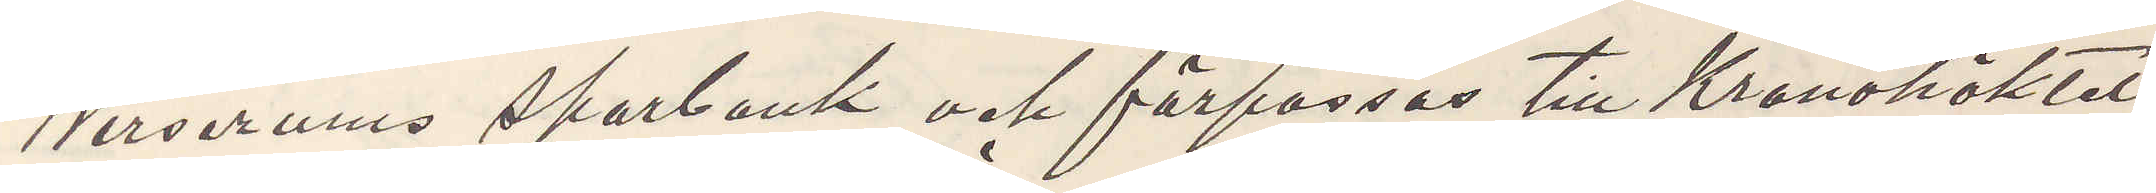Wirserums sparbank och förpassas till Kronohäktet
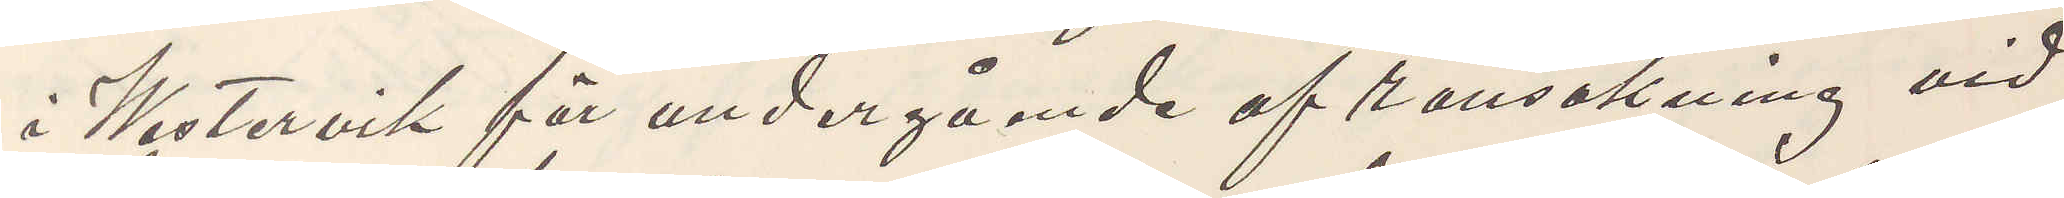i Westervik för undergående af ransakning vid
